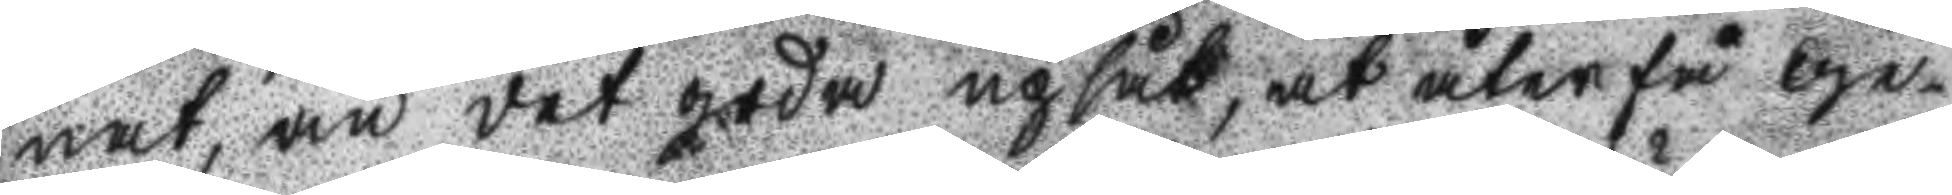nat, än det goda upsåt, at återfå ge¬
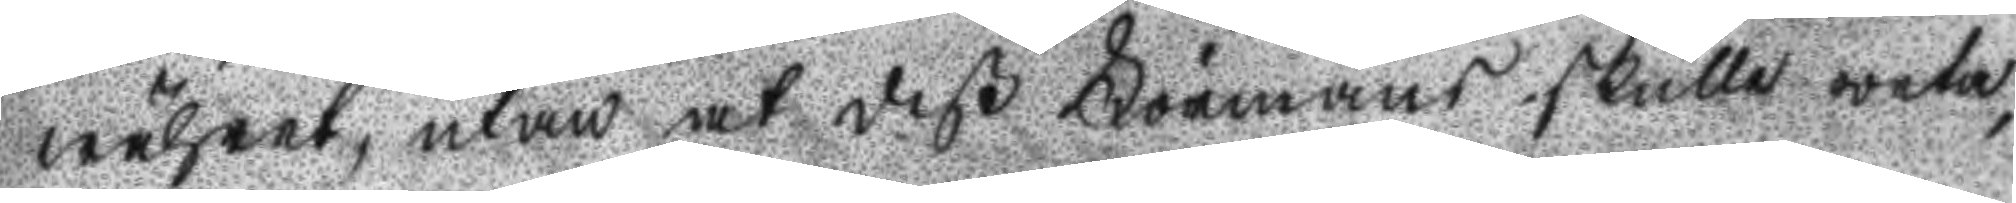währet, utan at deß Förmäns skulle weta,
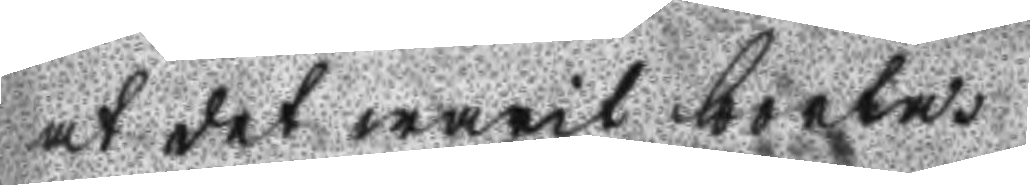at det warit borta.
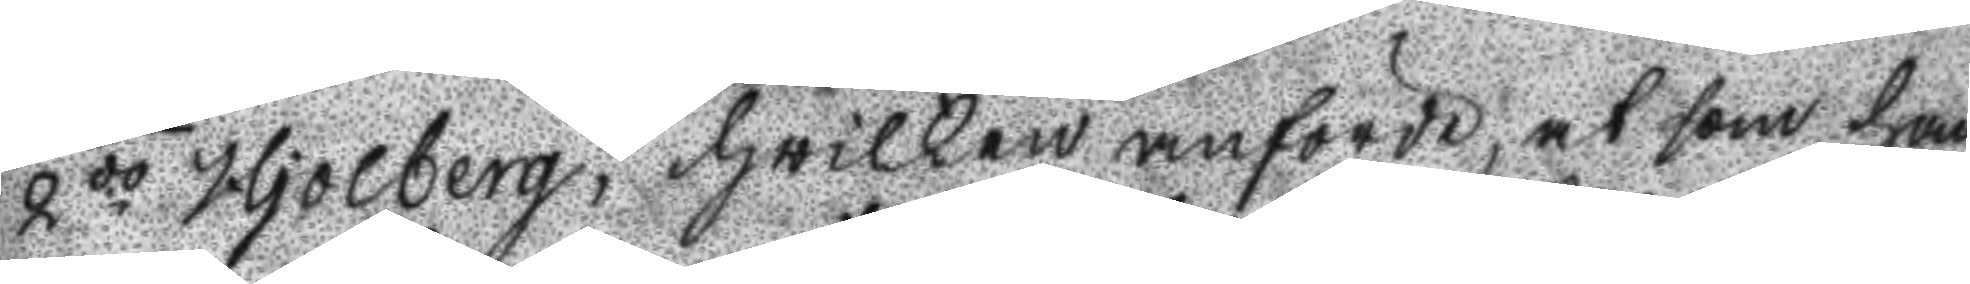2do Hjolberg; hwilken anförde, at som han
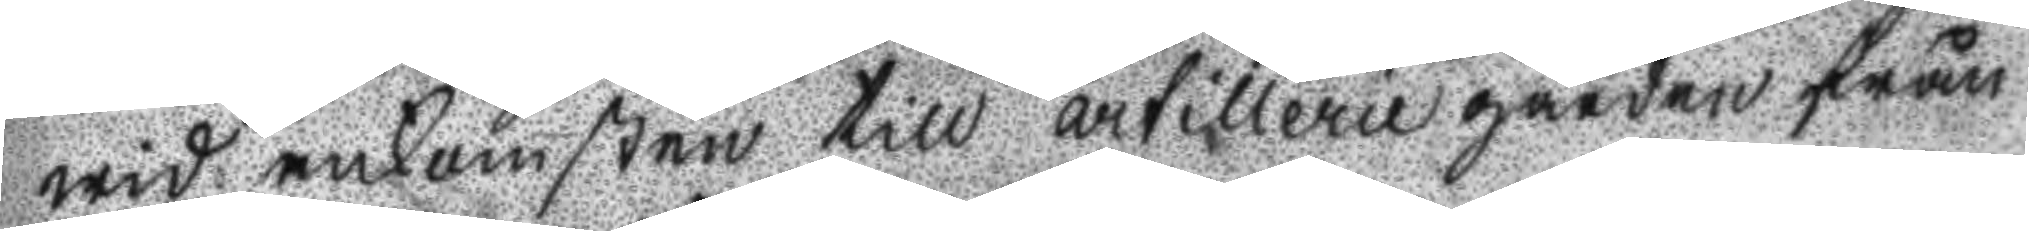wid ankomsten till artillerie gården från
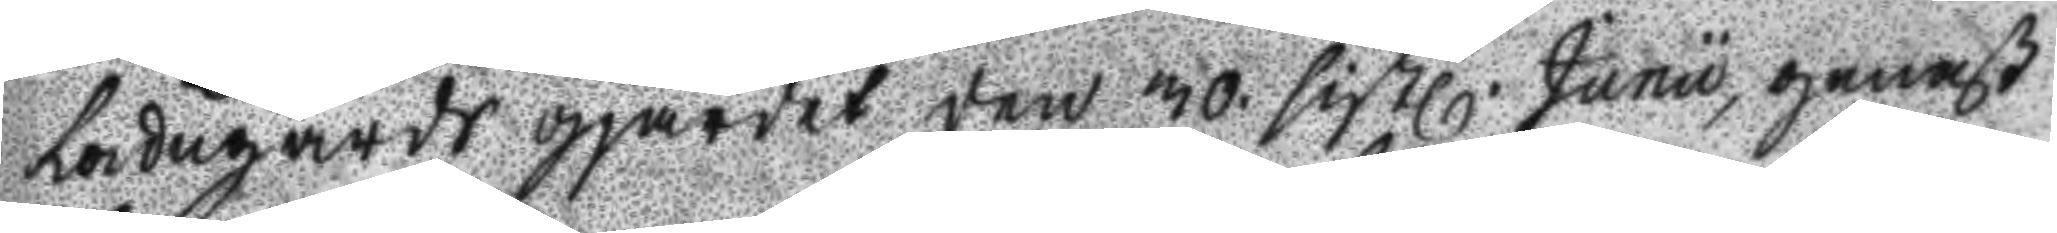Ladugårds gjärdet den 30. sistl. Junu, genast
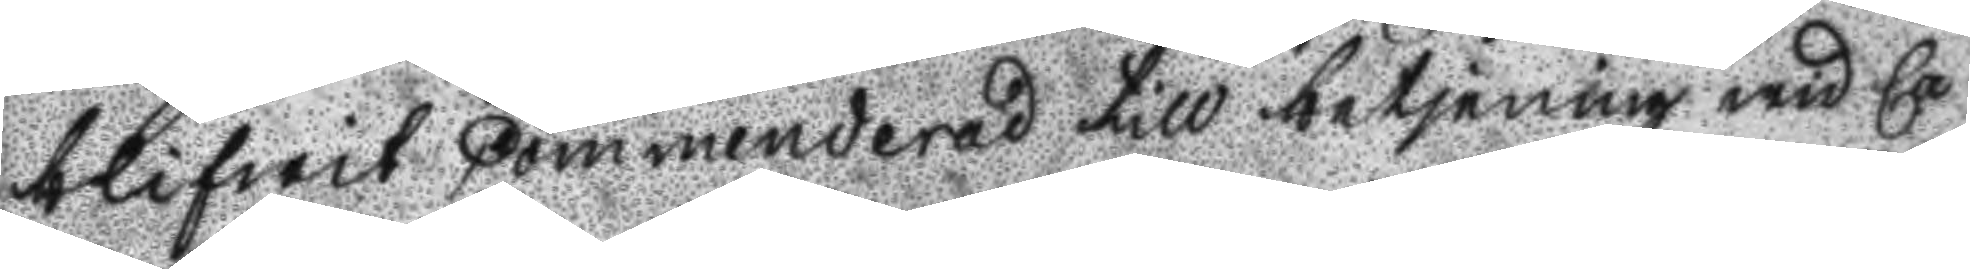blifwit Commenderad till betjening wid Ca
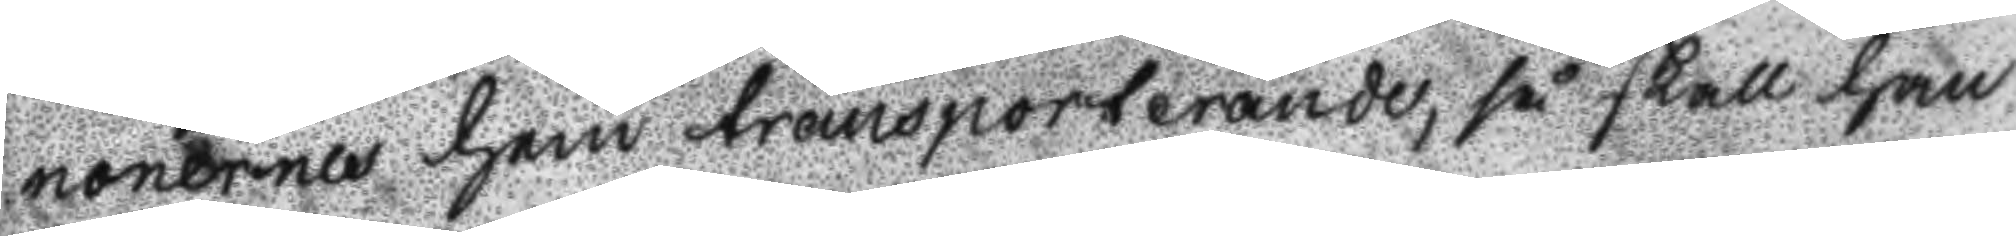nonernes han transporterande, så skall han
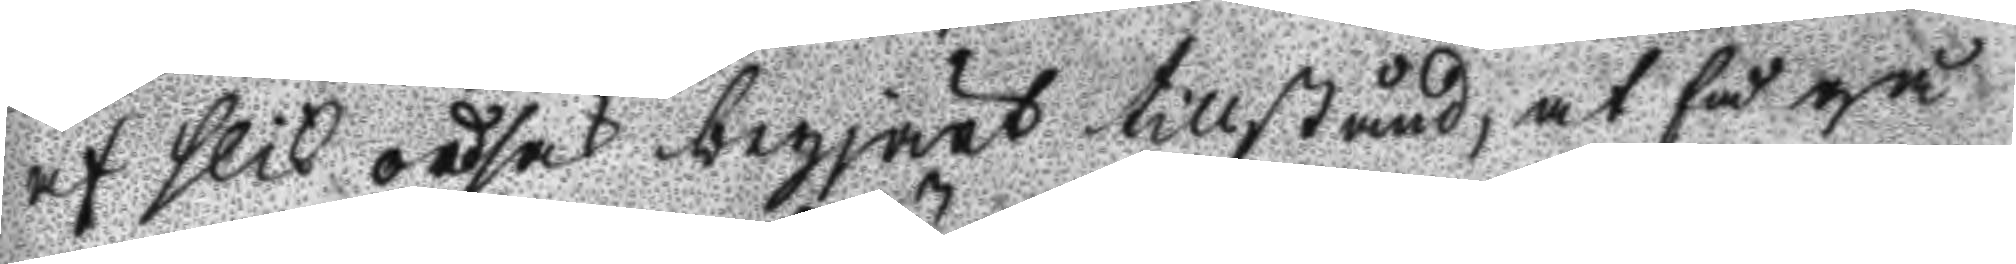af slik ordsak begjärt tillstånd, at få gå
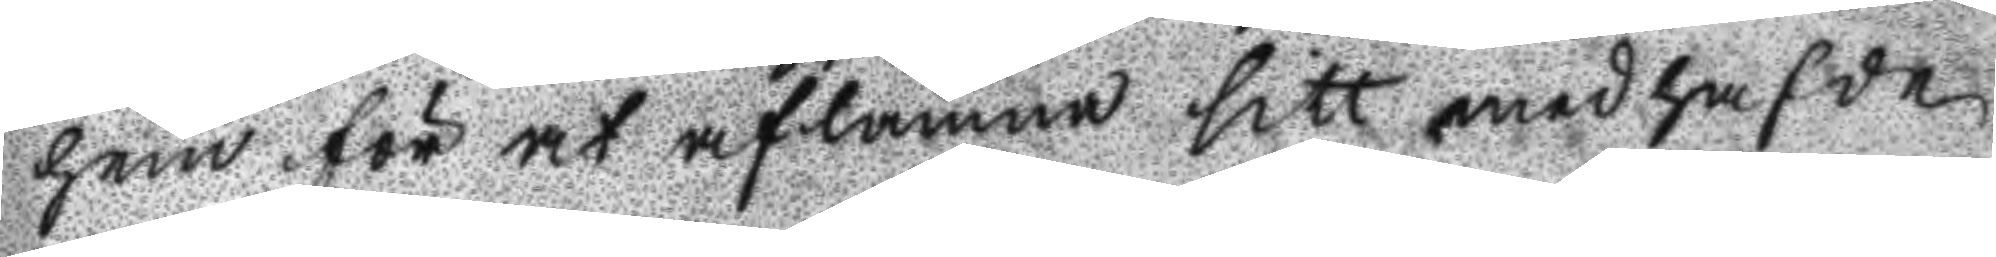hem för at aflämna sitt medhafde
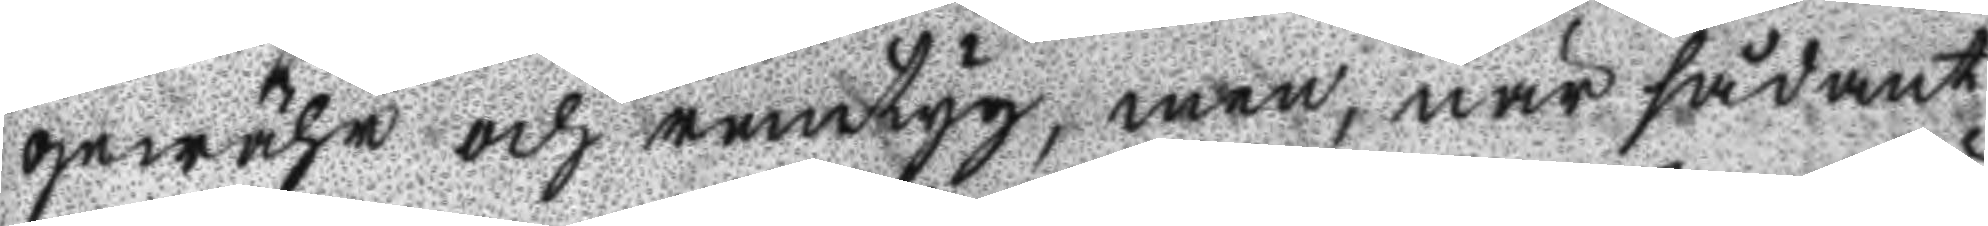gewähr och remtyg, men, när sådant
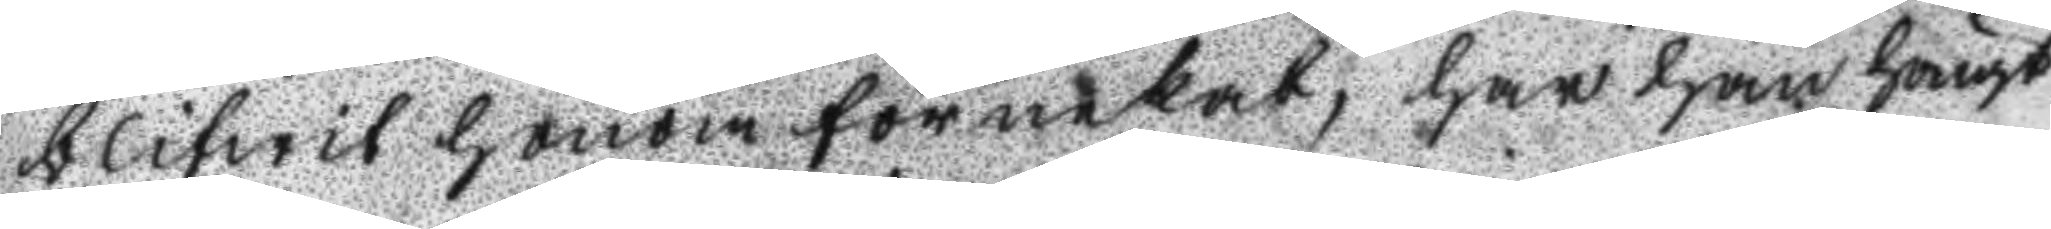blifwit honom förnekat, har han hängt
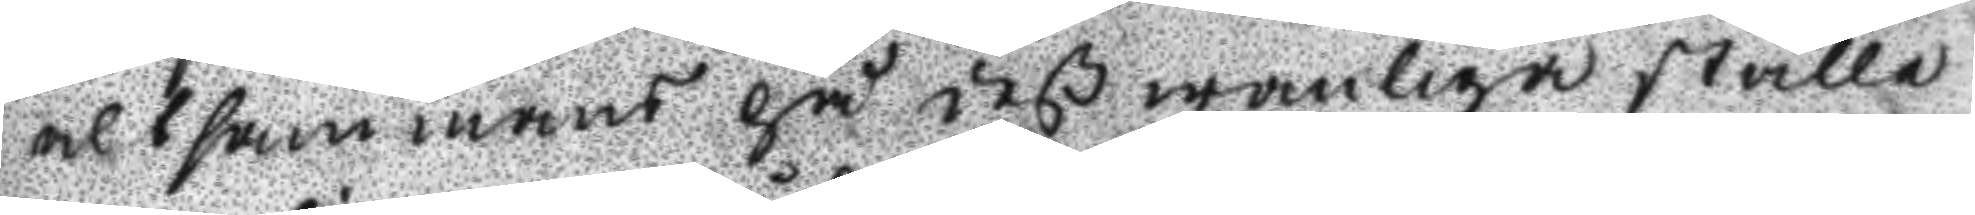altsammans på deß wanliga ställe
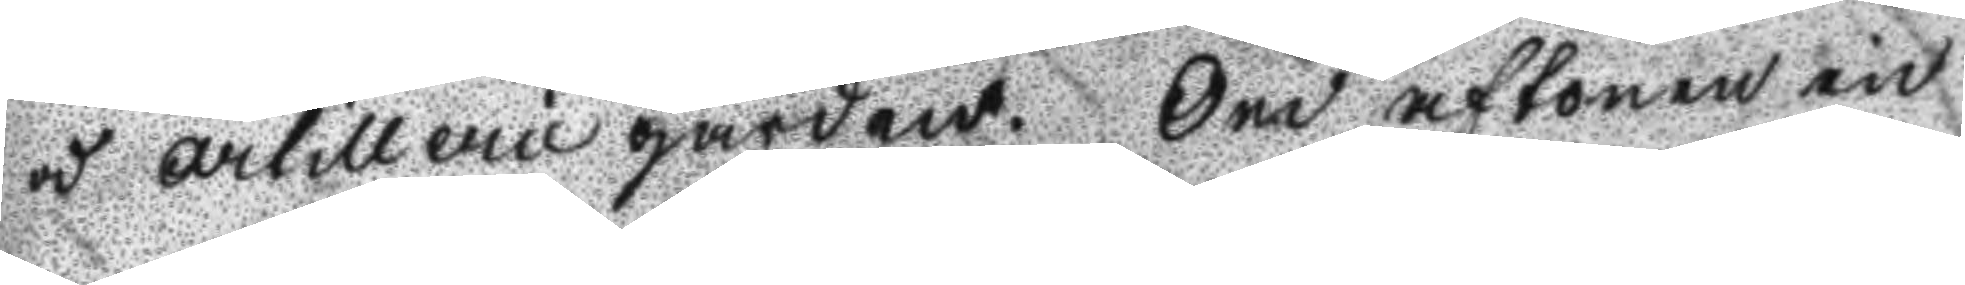i artillerie gården. Om aftonen in
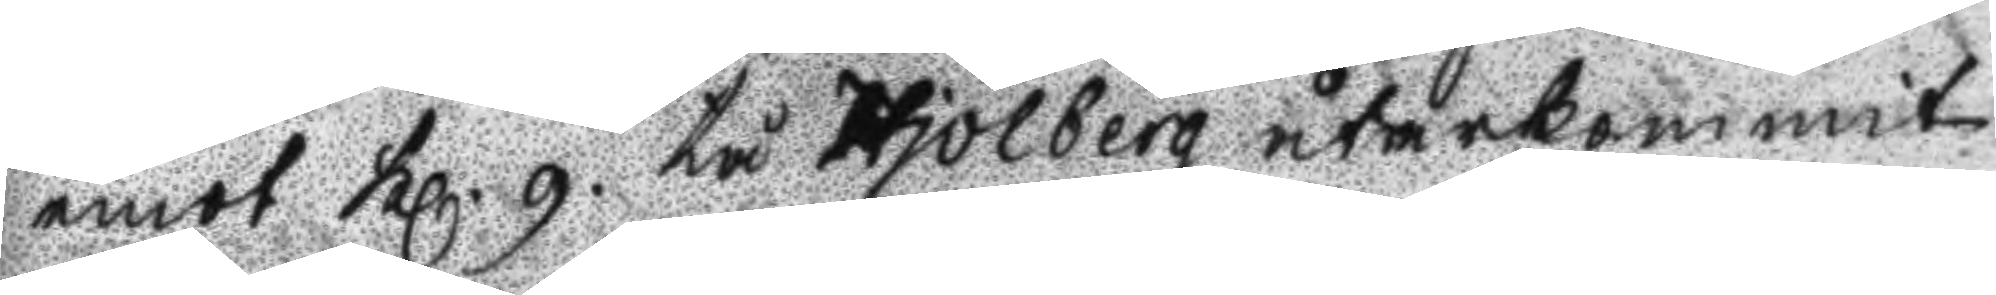emot Kl. 9. tå Hjolberg återkommit
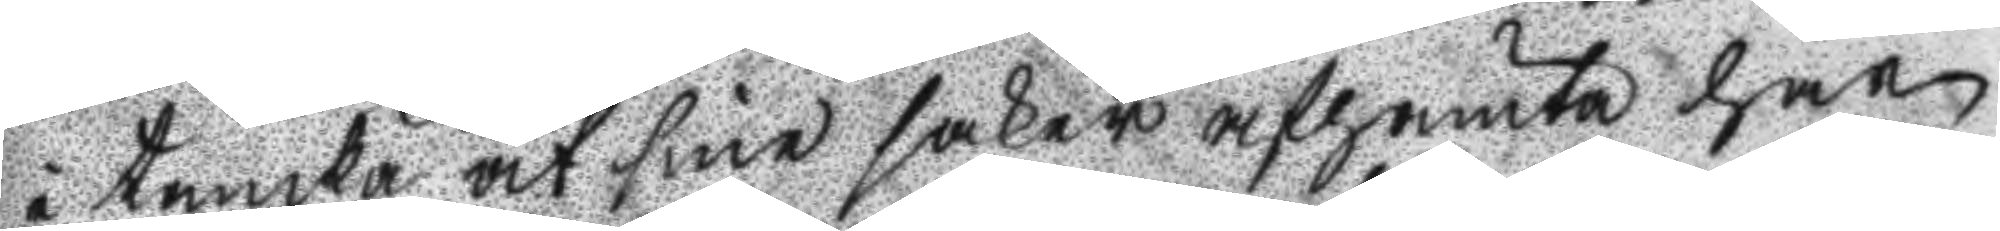i tanka at sine saker afhämta har
